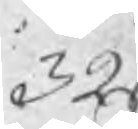321
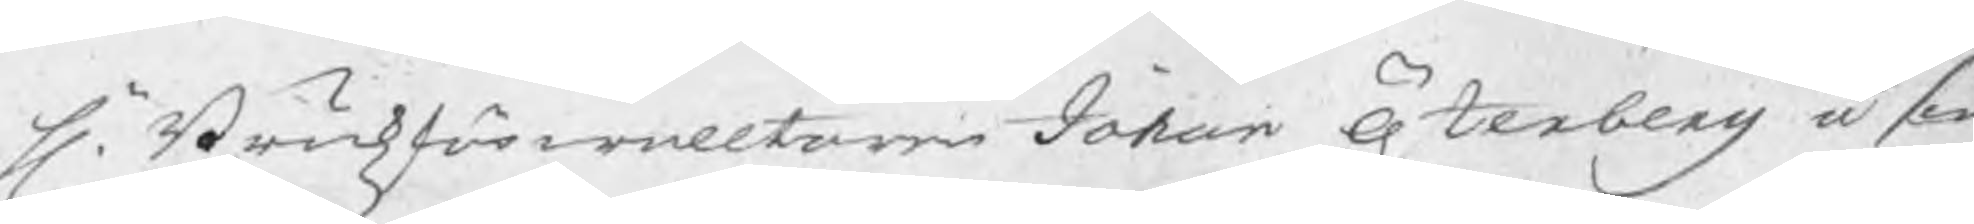Hr. Brukzförwaltaren Johan Österberg å sin
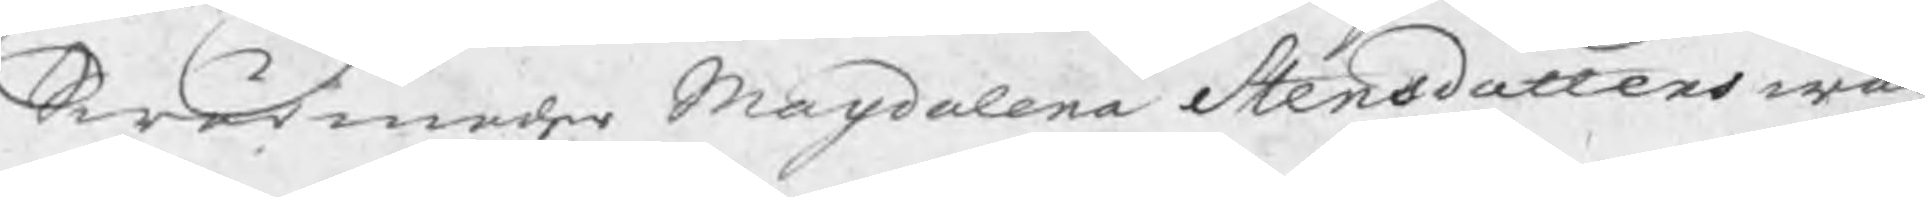Swärmoder Magdalena Stensdotters wäg
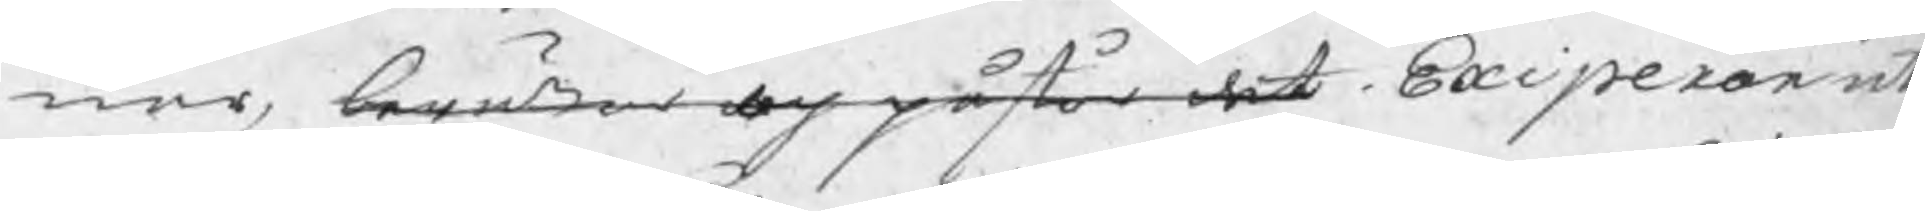nar, berättar och påstår det Exiperar ute
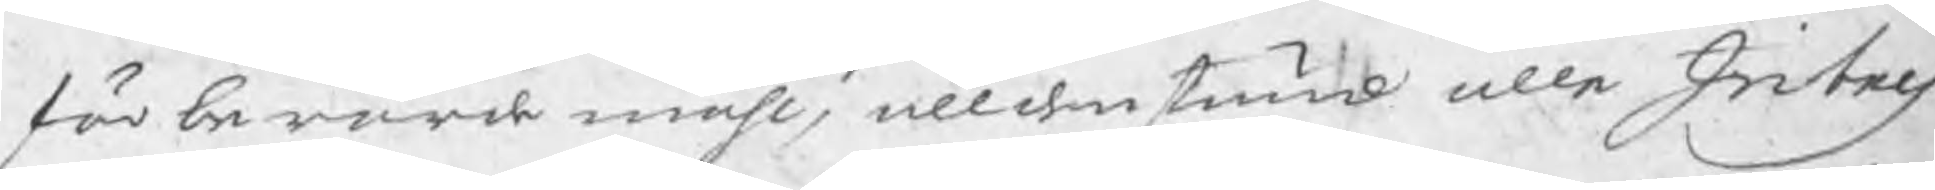förberörde måhl, alldenstund alle Intres
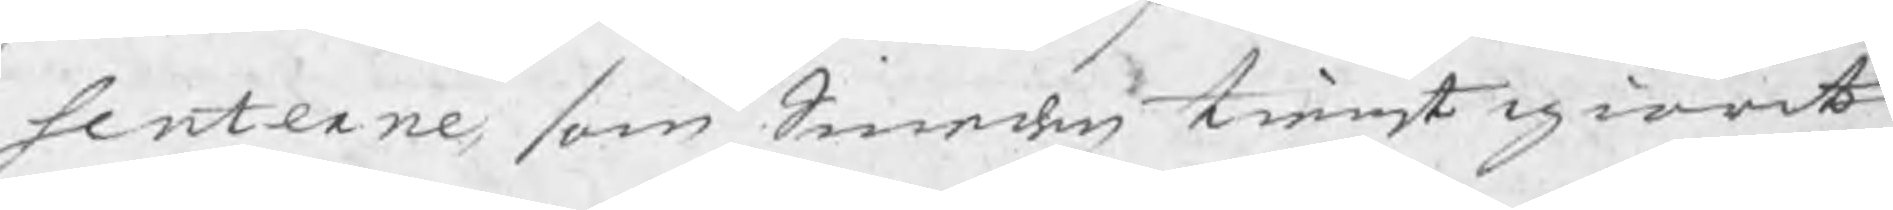senterne, som Smeden tienst giort
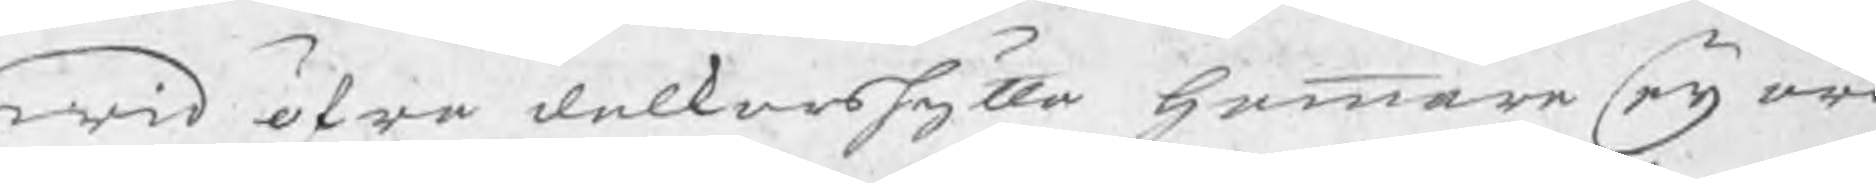wid öfra dalkarshytta hammare eij äro
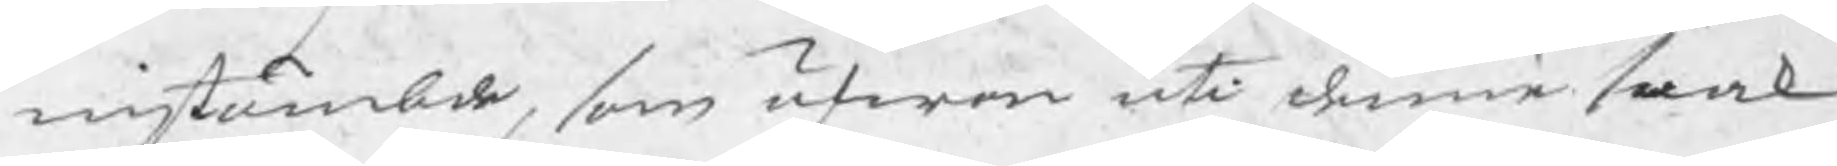instämbde, som äfwen uti denne saak
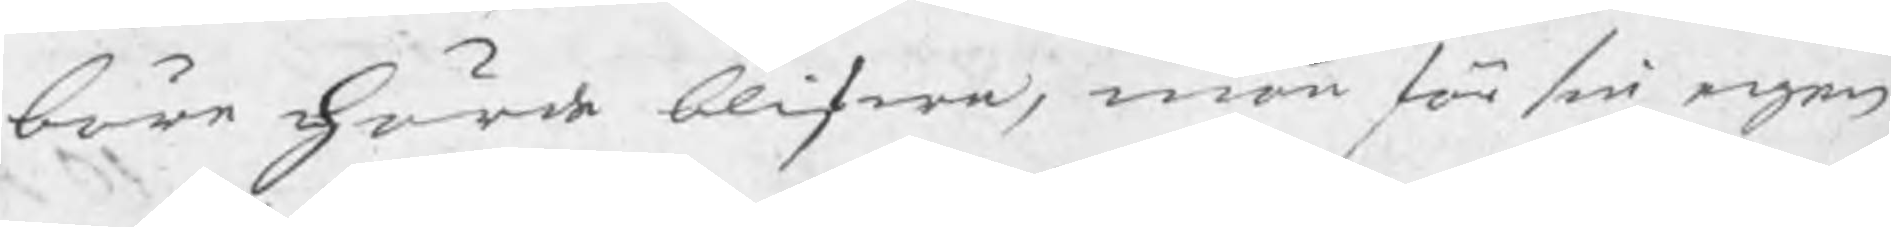böre hörda blifwa, män för sin egen
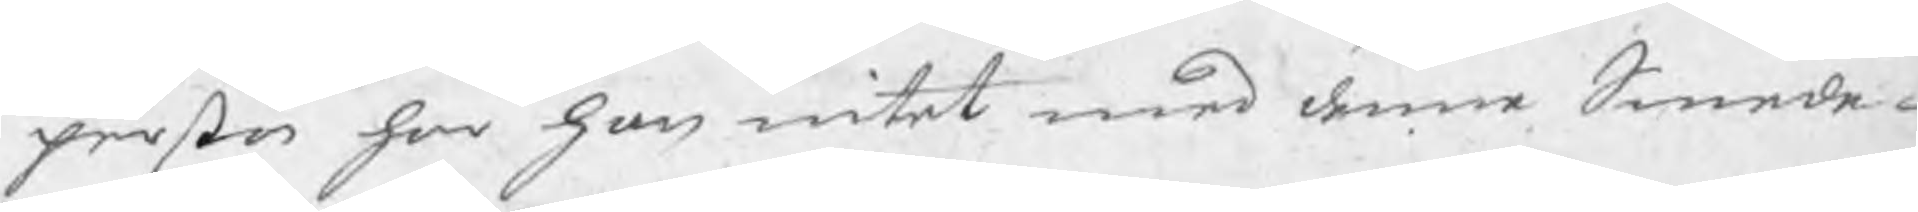person har hon intet med denne Smede-
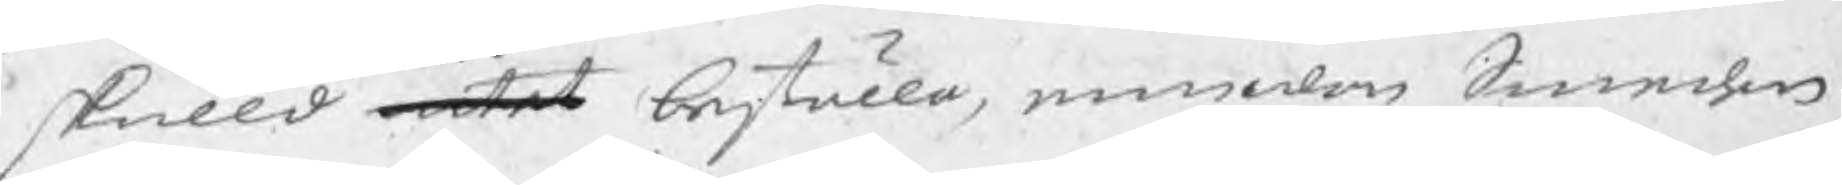skulld intet beställa, emedan Smeden
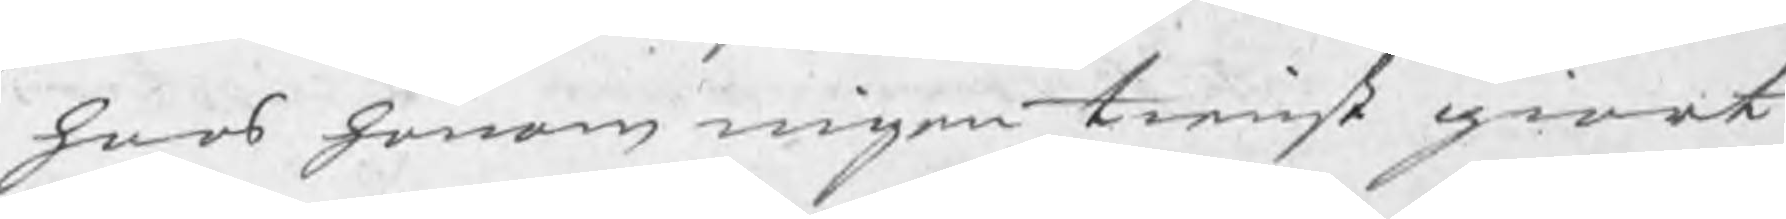hoos honom ingen tienst giort
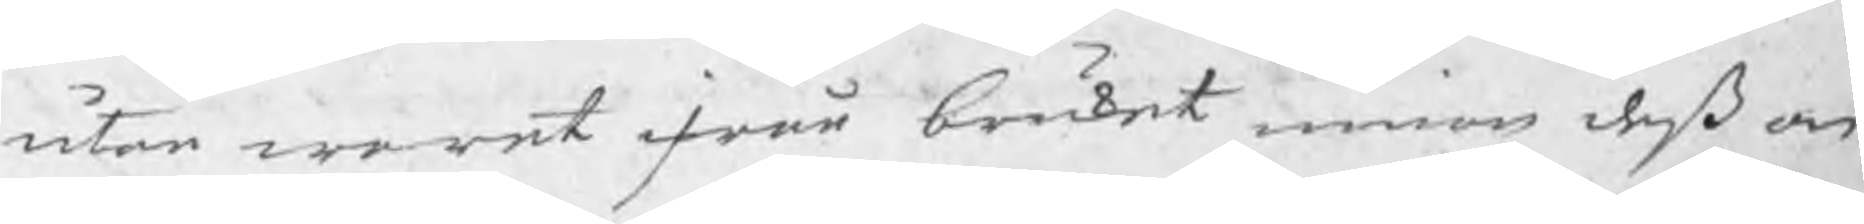utan waret ifrån bruket innan deß an
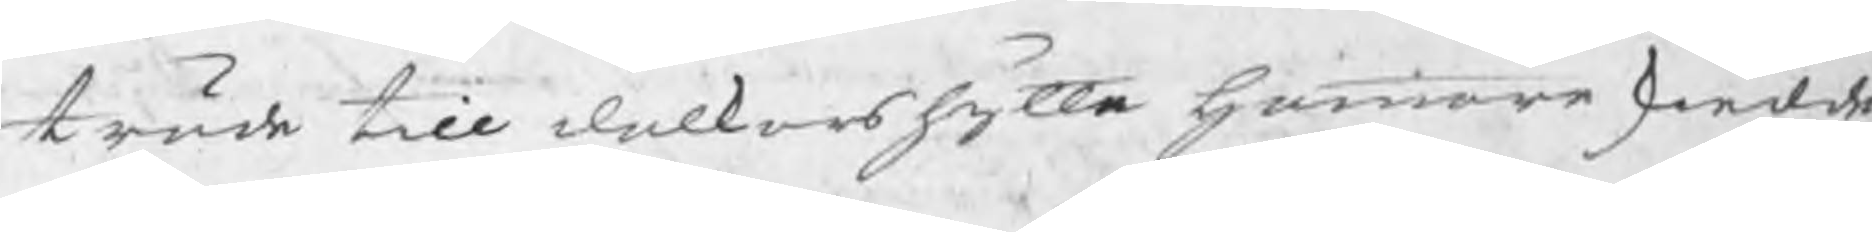träde till dalkarshytte hammare skiedde.
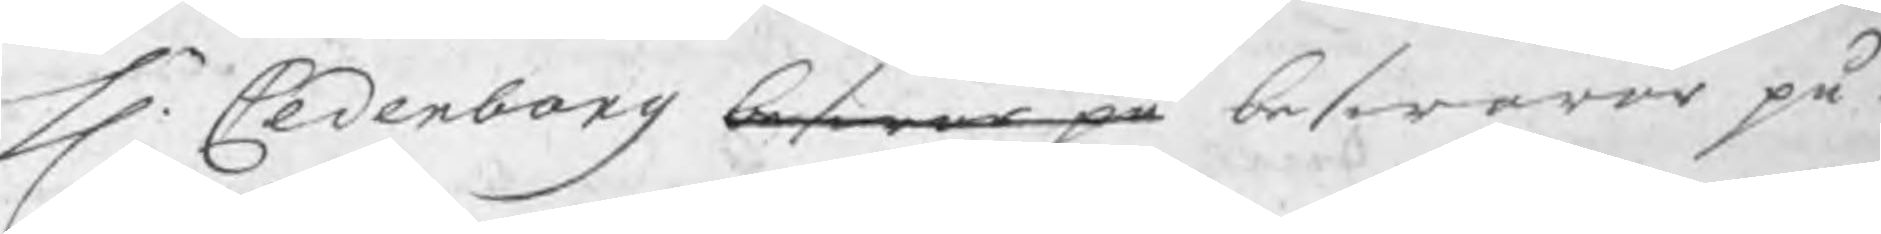Hr. Cederborg beswor på beswarar på
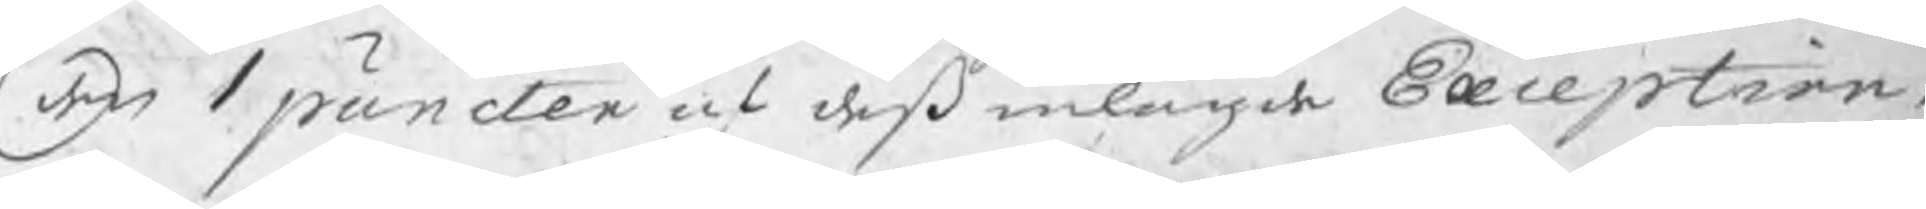den 1 puncten af deß inlagde Exception,
